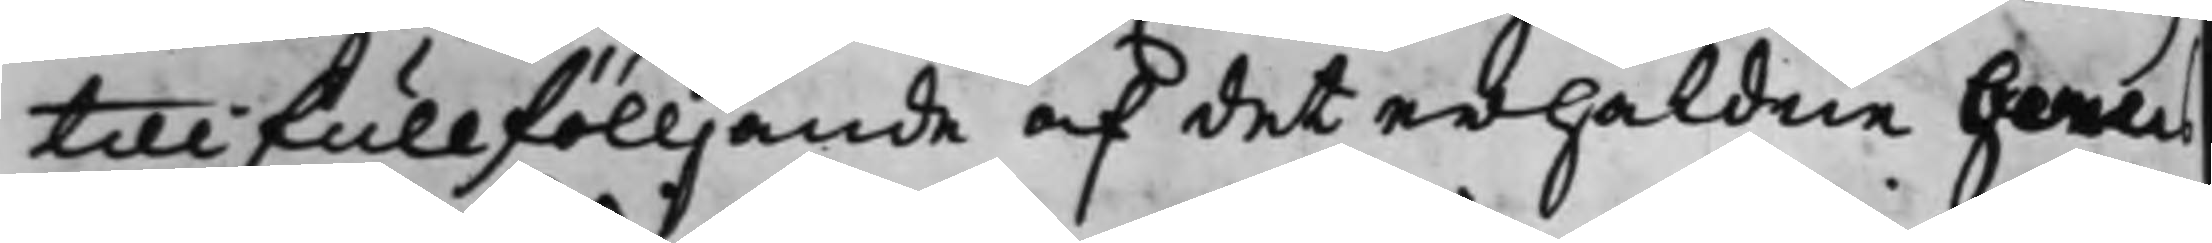till fullfölljande af det erhåldne Hans
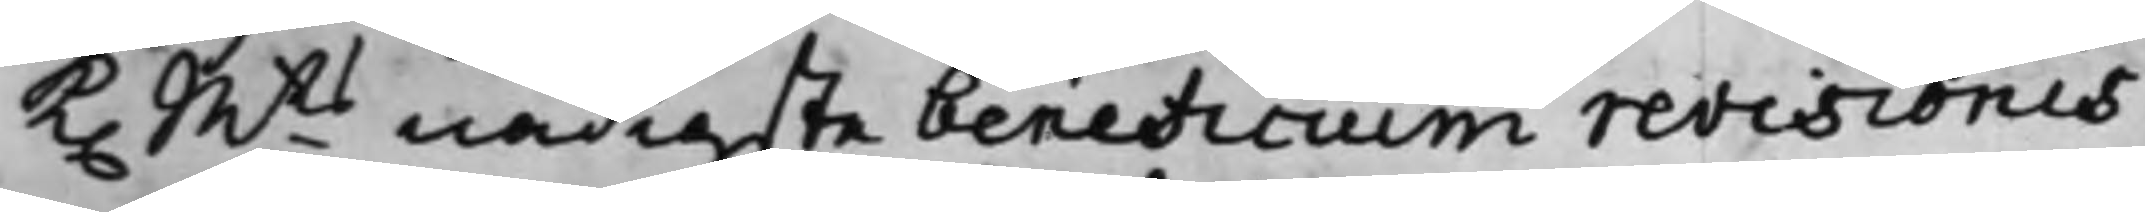K. Mts nådigste beneficium revisionis
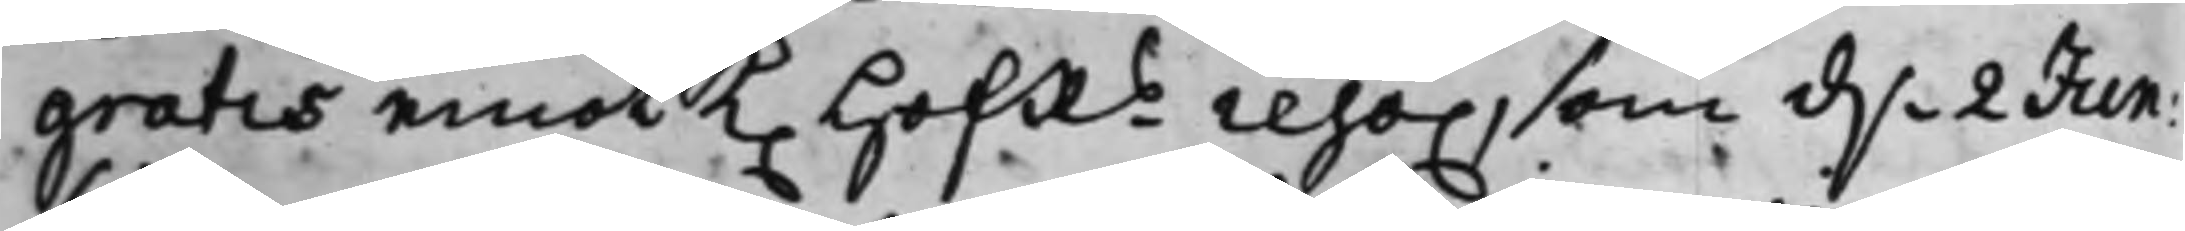gratis emot K. HofRs reso., som d. 2 Jun:
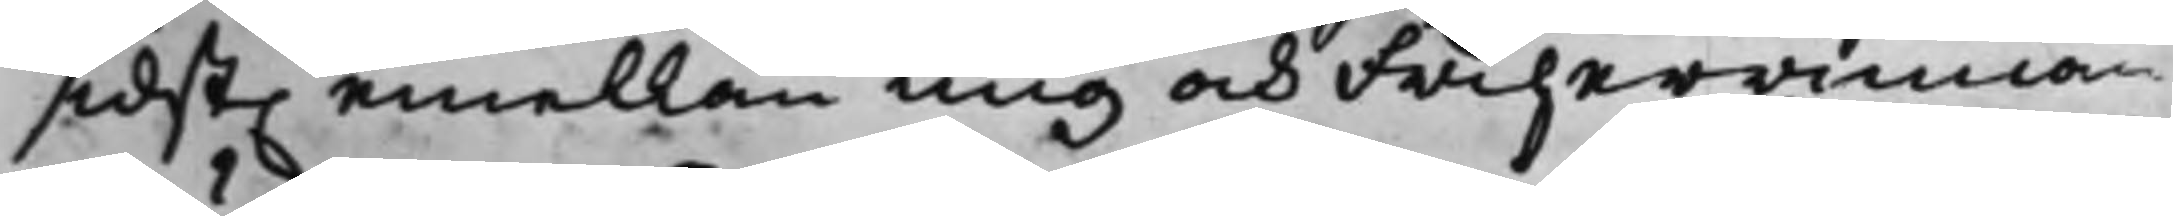sidst. emellan mig och Friherrinnan
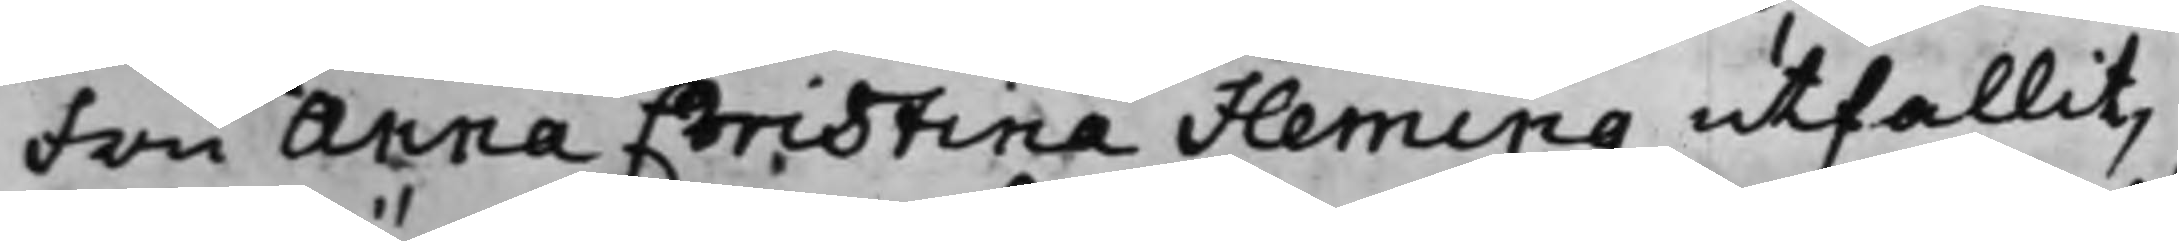Fru Anna Christina Fleming utfallit,
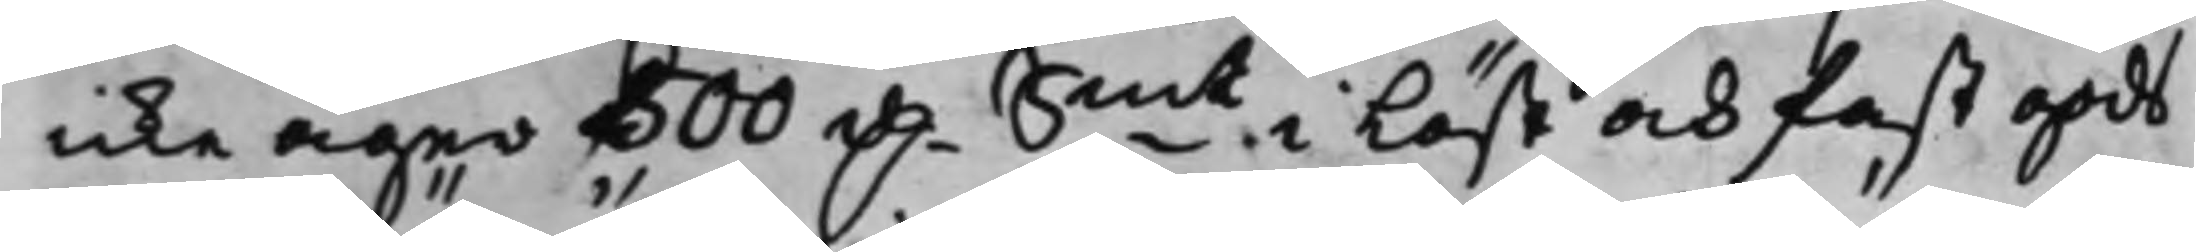icke äger 500 D. Smt i Löst och fast gods
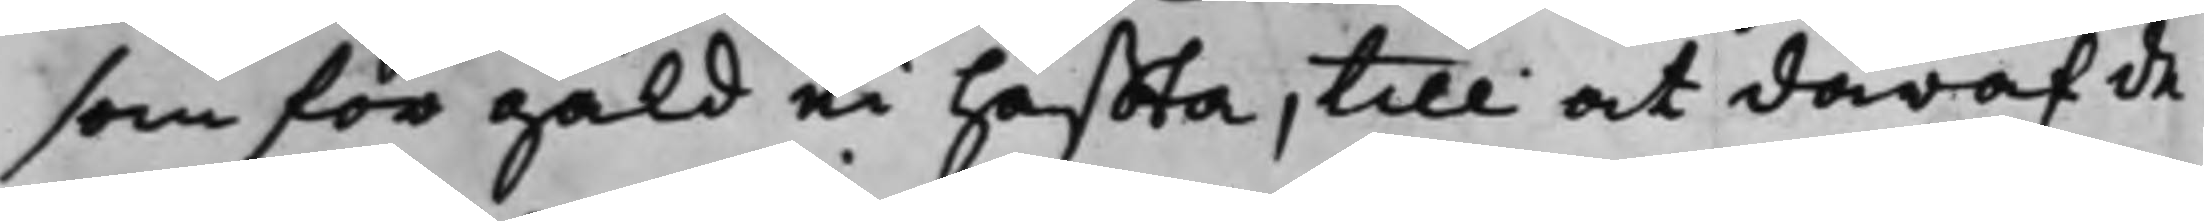som för gäld ei häffta, till at däraf de
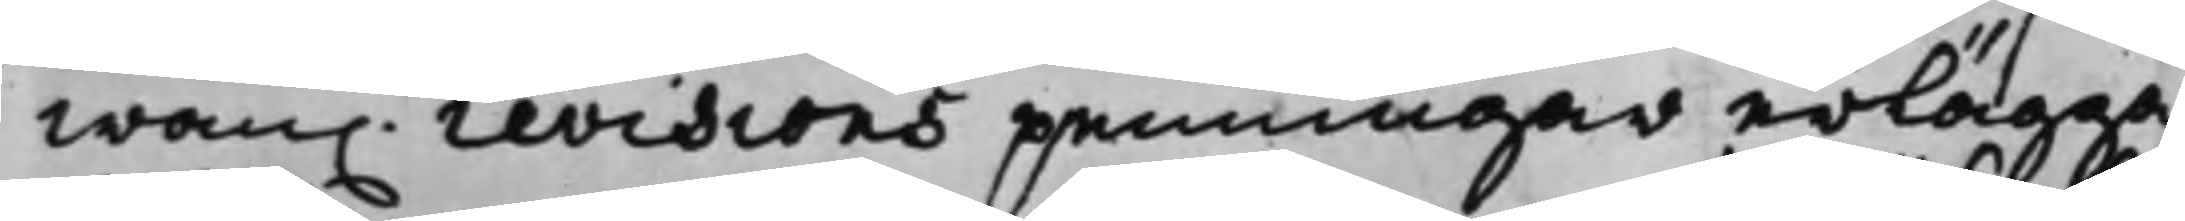wan. revisions penningar erlägga
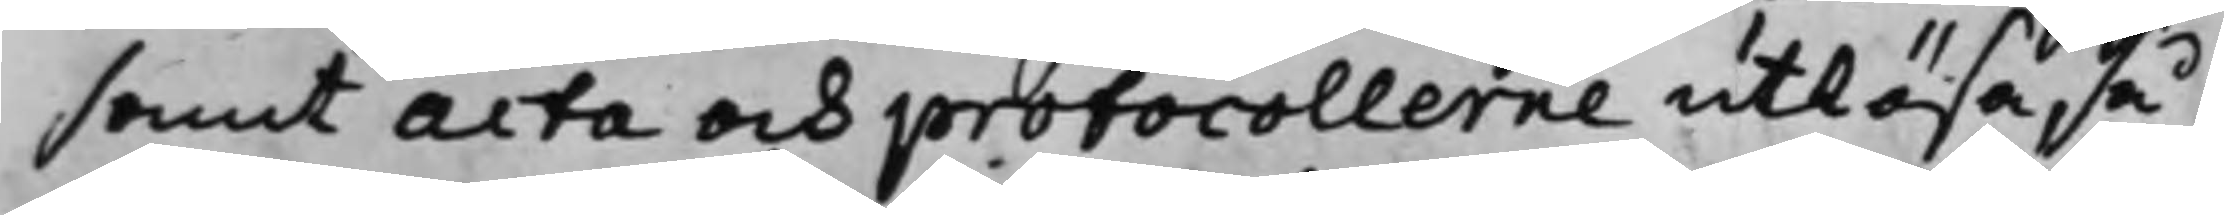samt Acta och protocollerne utlösa så
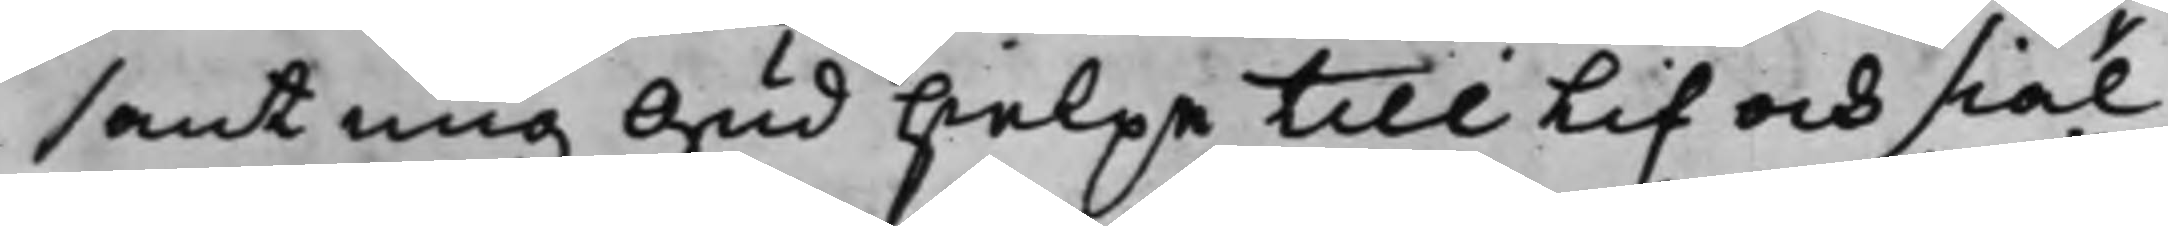sant mig Gud hielpe till lif och siäl
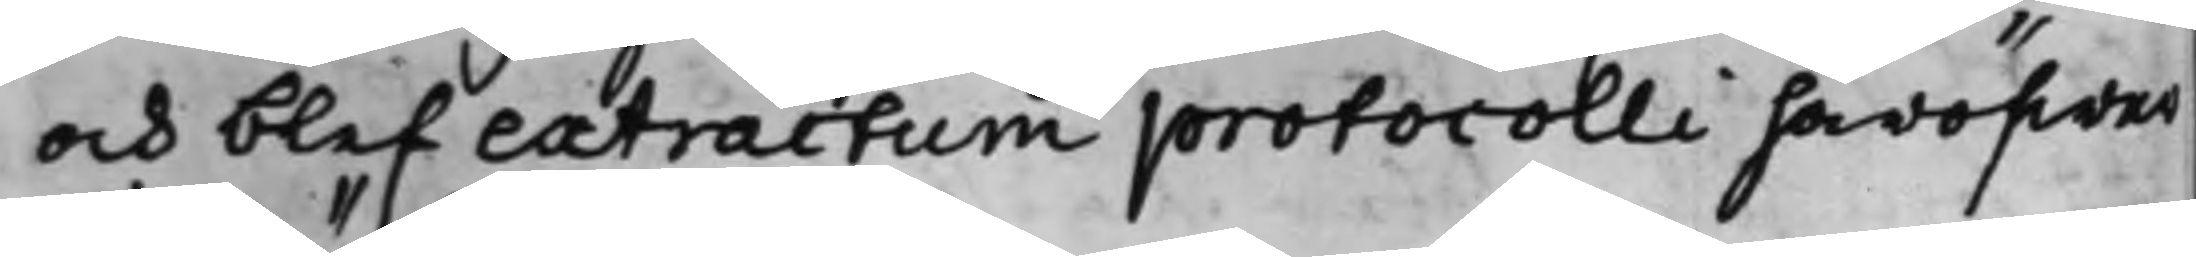och blef extractum protocolli häröfwer
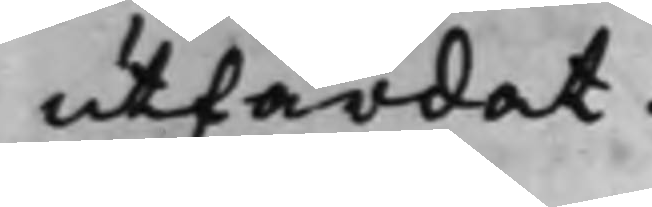utfärdat.
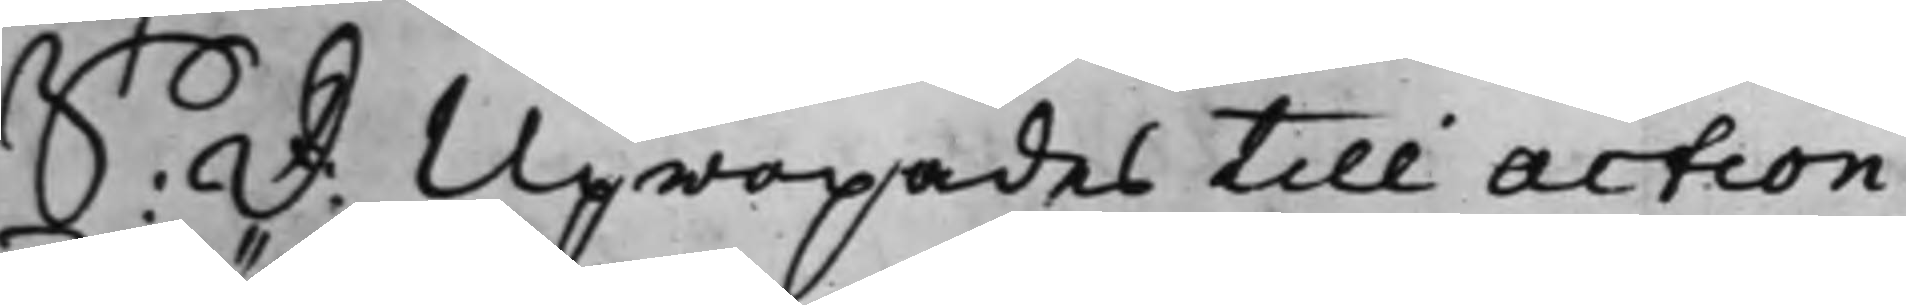S: D: Upropades till action
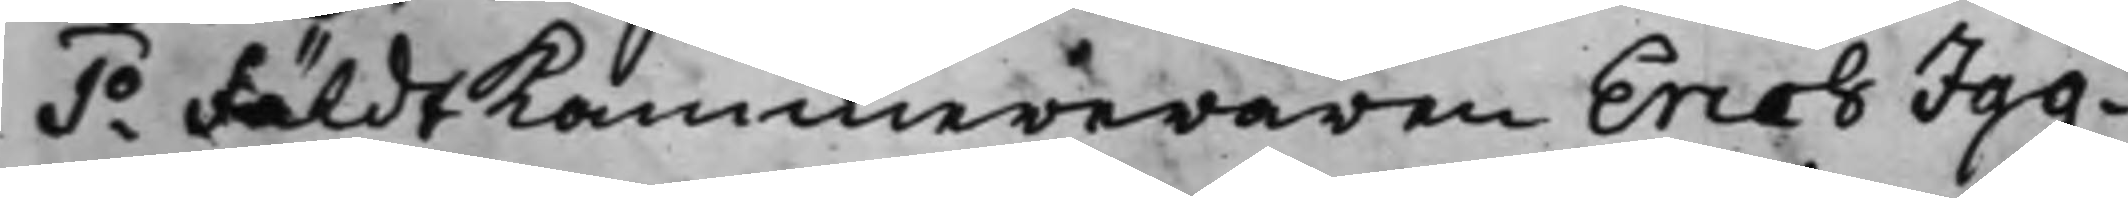1o FäldtKammereraren Erich Jag¬
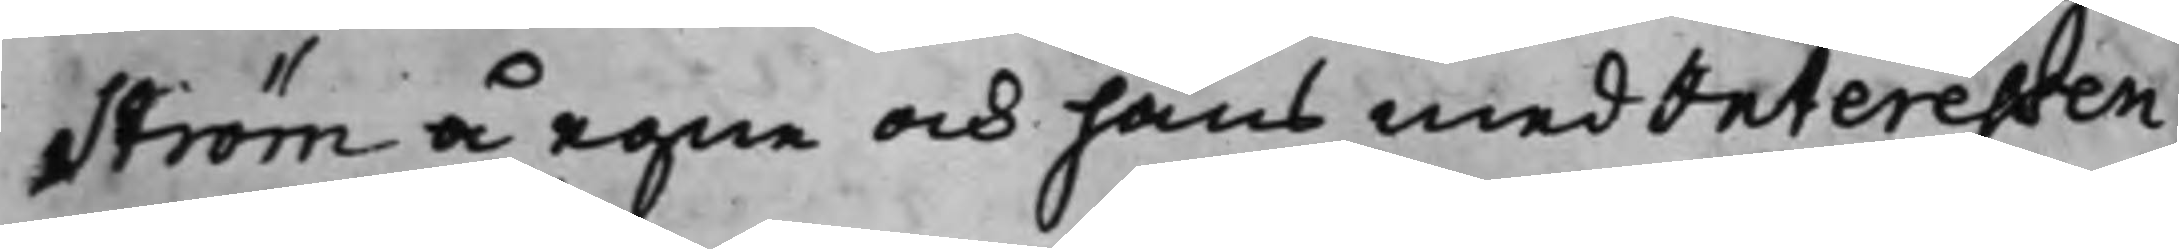ström å egne och hans medInteressen¬
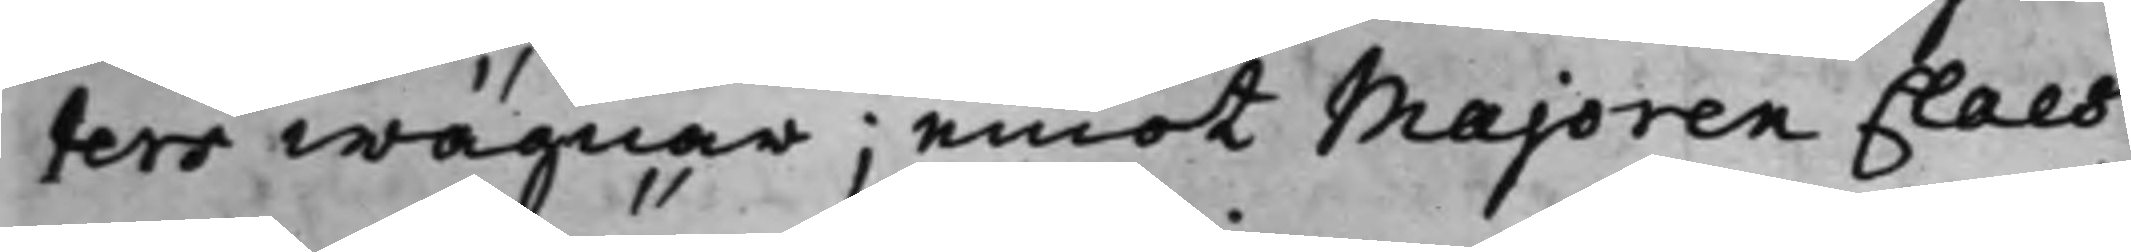ters wägnar; emot Majoren Claes
